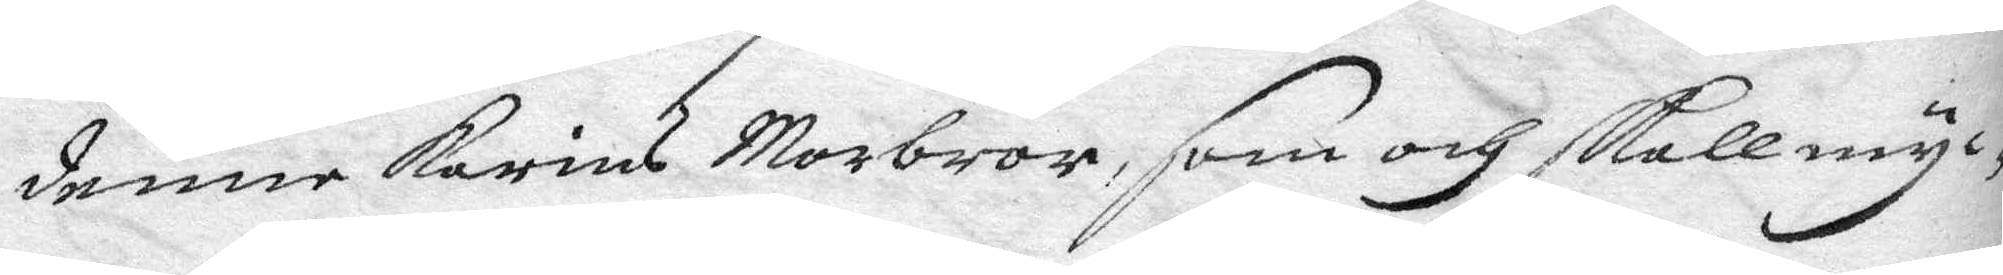denne Karins Morbror, som och skall myc¬
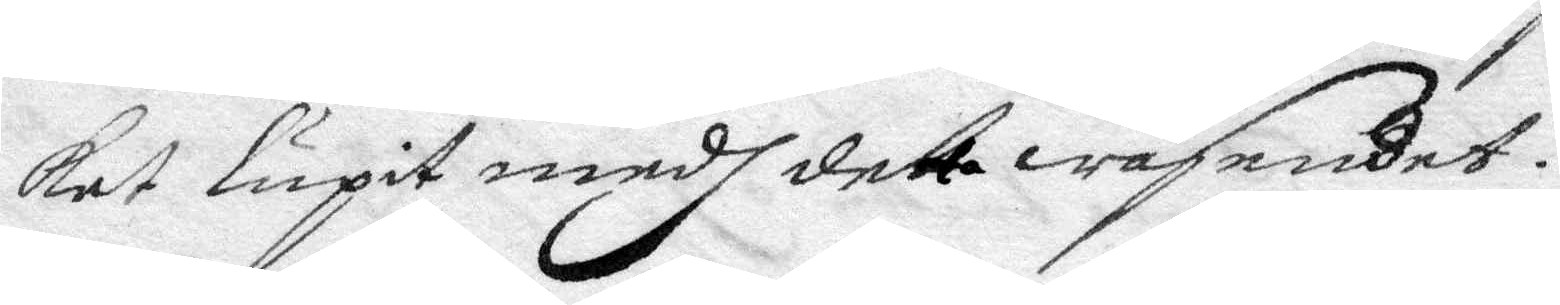ket lupit medh detta wäsendet.
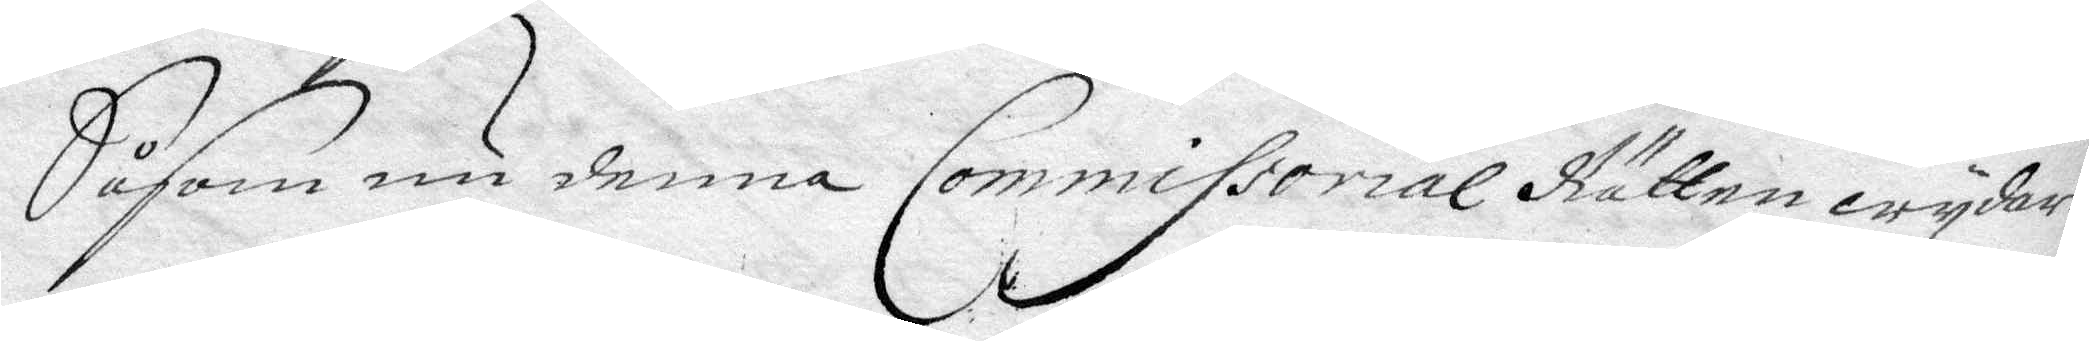Såsom denna Commissorial Rätten wydare
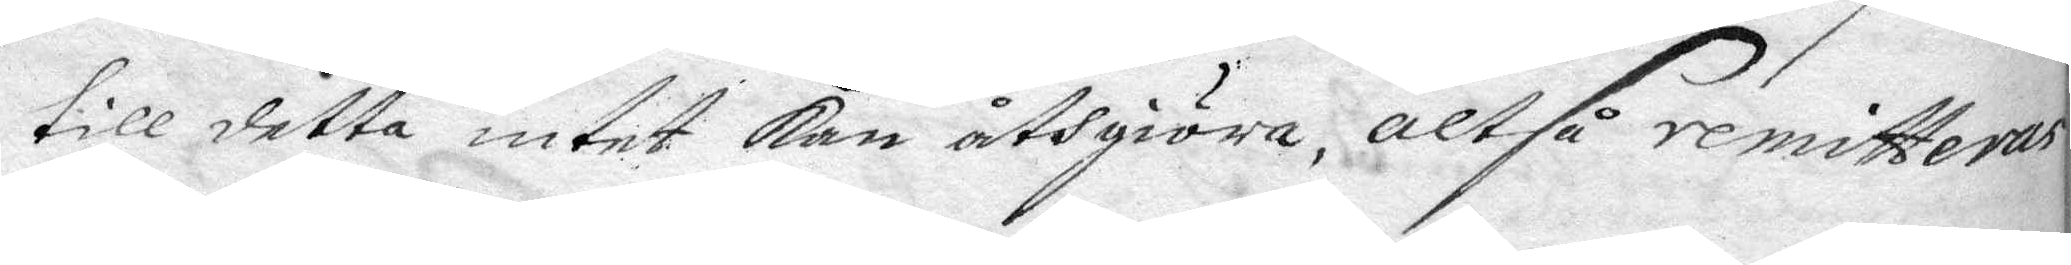till detta intet kan åthgiöra, altså remitteras
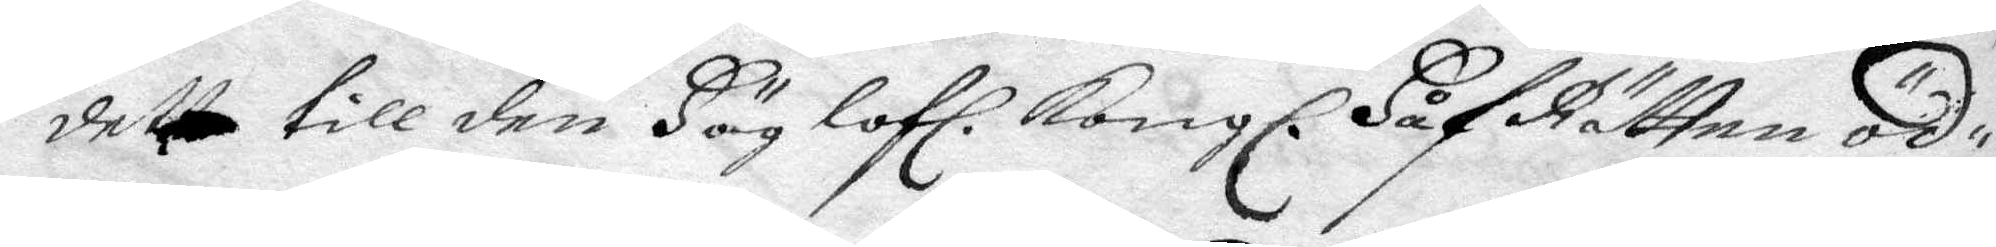detta till den Höglofl. Kongl. HåfRätten öd¬
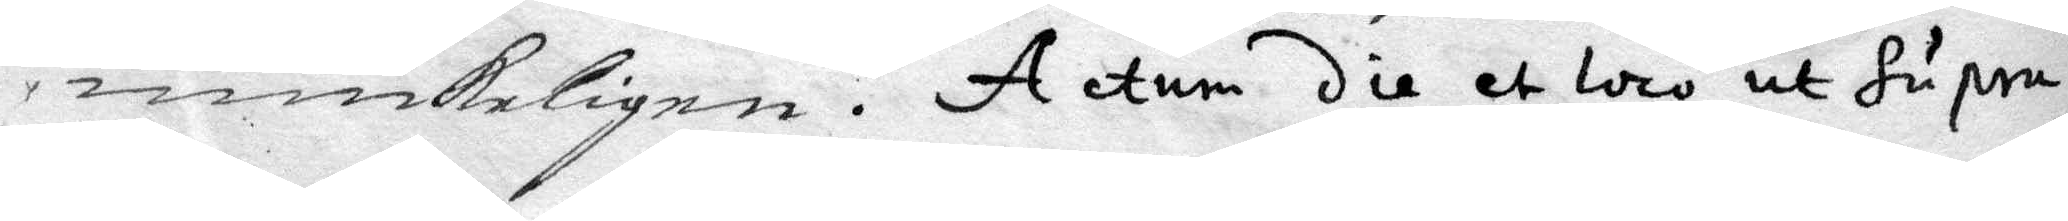miukeligen. Actum die et loco ut supra.
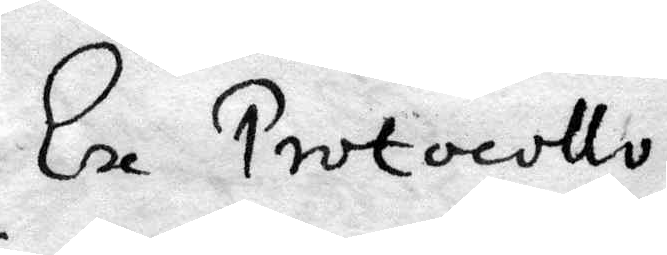Ex Protocollo
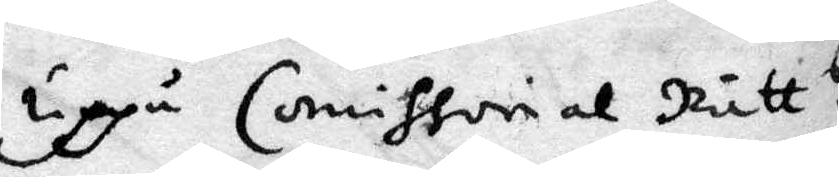uppå Comissorial Rätt s
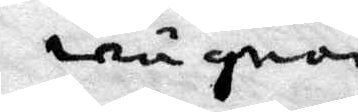wägnar.
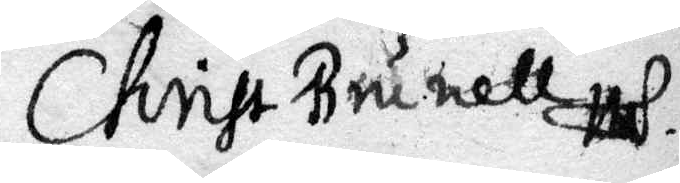Christ Brunell
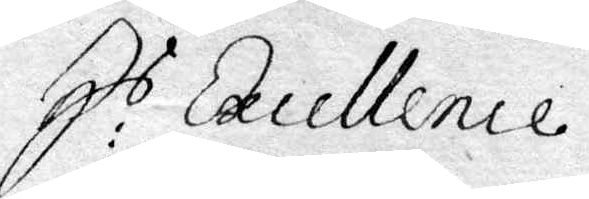E:s Excellence
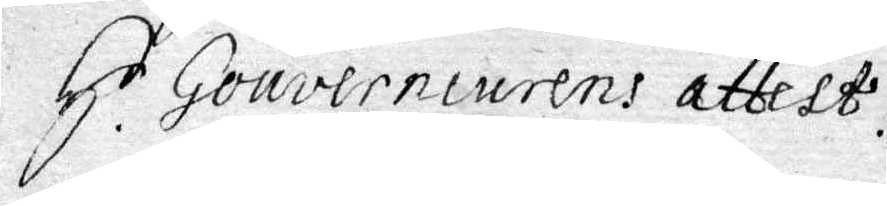H.r Gouverneurens attest.
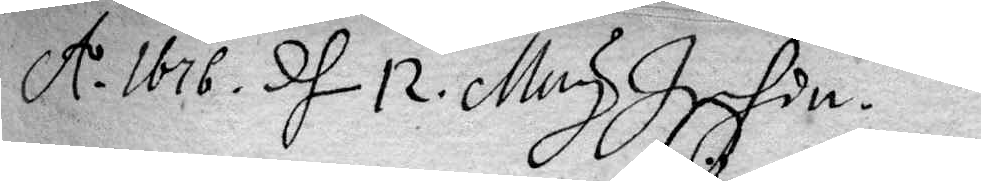A.1676. d 12. May Ifdn.
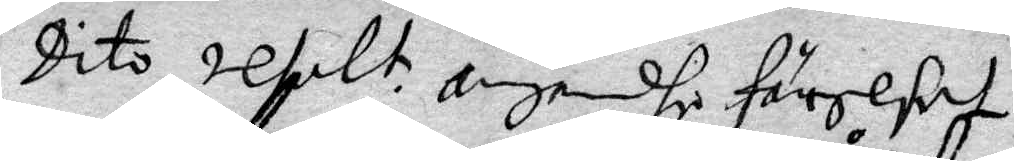Dito resolt: angåendhe förelst
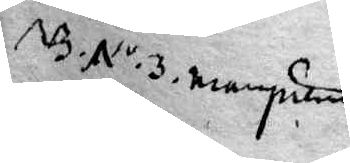NB. N.o 3. emydan
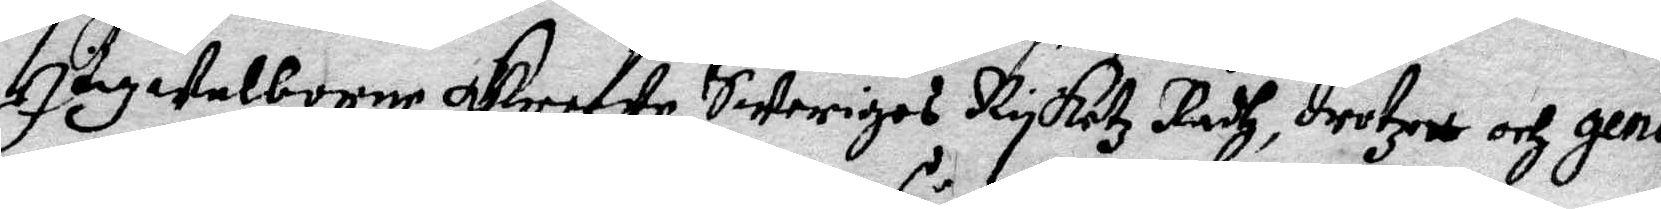Högwelborne Greefwe Sweriges Ryketz Rådh, drotzet och gene¬
